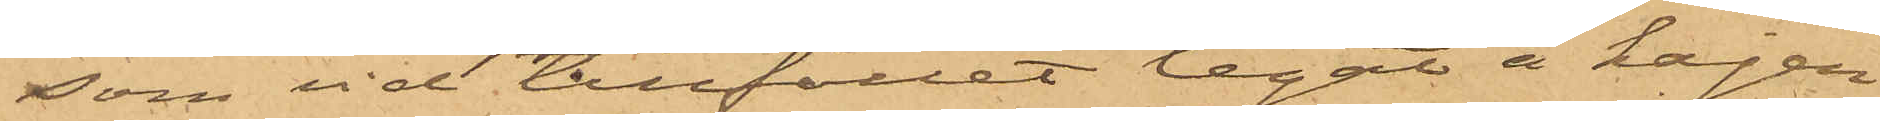som vid tillfället legat å kajen
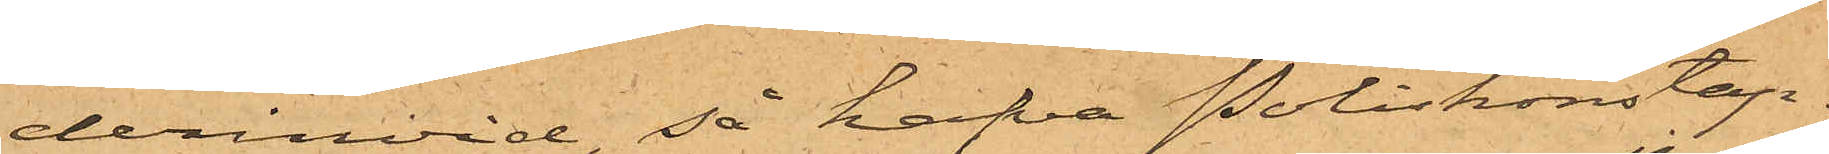derinvid, så hafva Poliskonstap¬
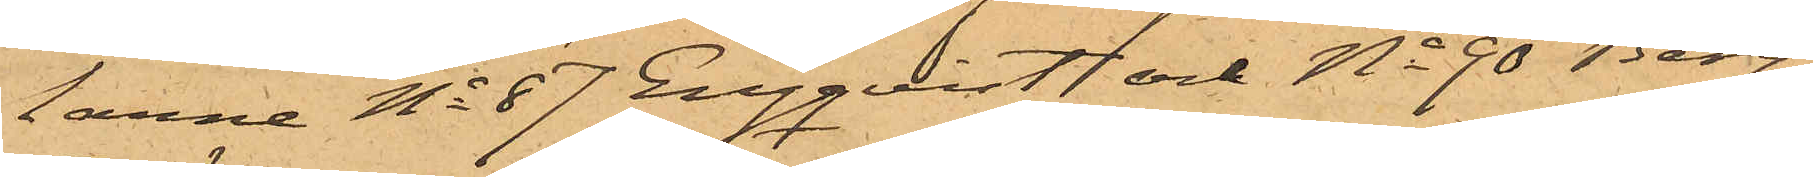tarne No 87 Engquist och No 90 Berg¬
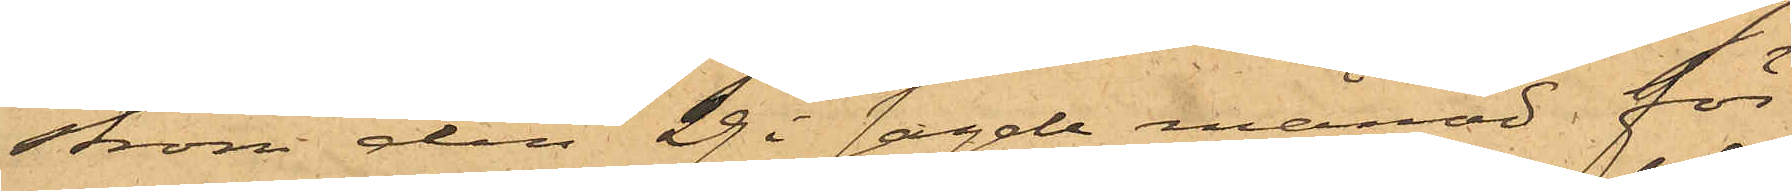ström den 29 i sagde månad för
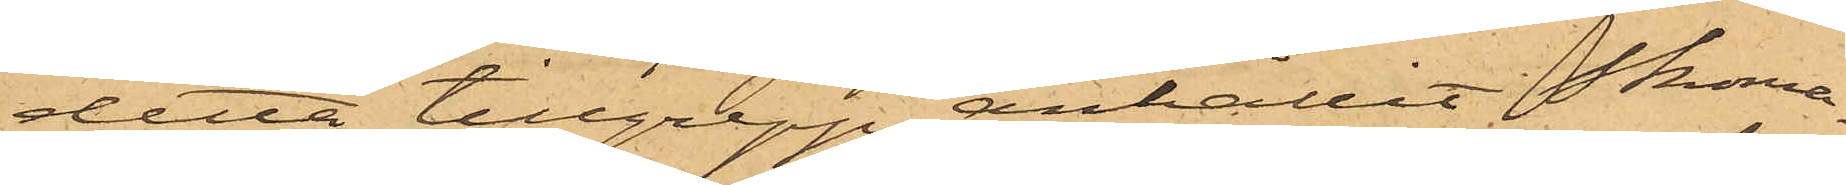detta tillgrepp anhållit Skoma¬
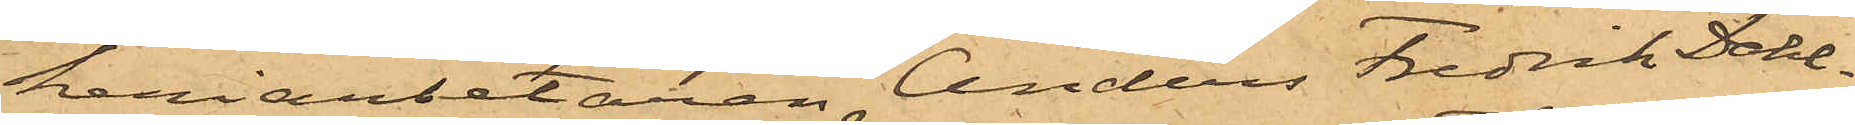keriarbetaren Anders Fredrik Dahl¬
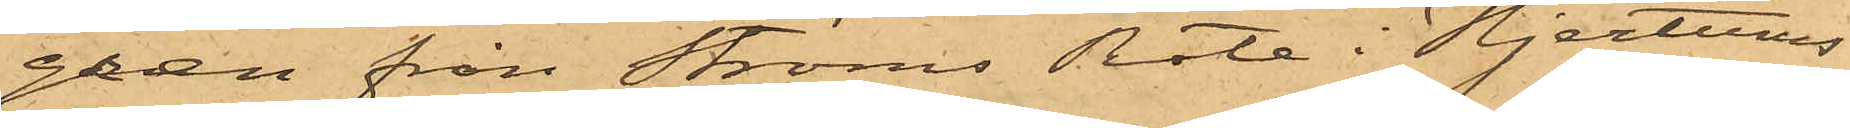gren från Ströms Rote i Hjertums
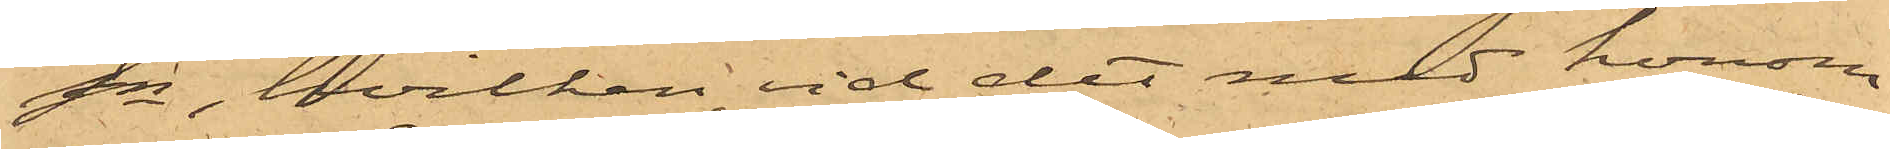Sn, hvilken vid det med honom
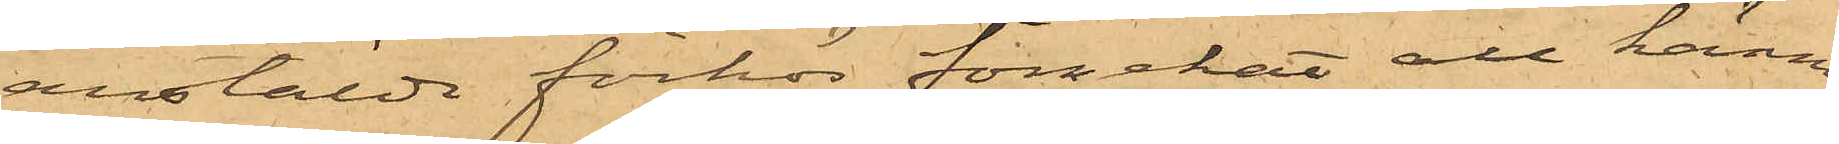anstälde förhör förnekat all känne¬
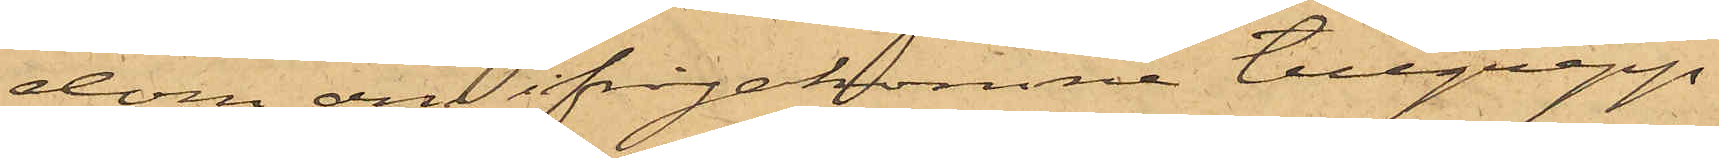dom om ifrågakomne tillgrepp.
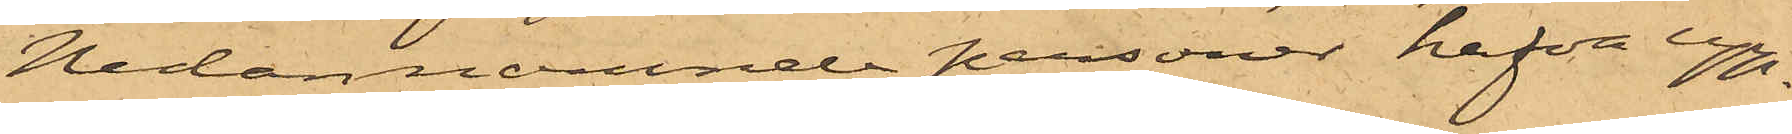Nedannämnde personer hafva upp¬
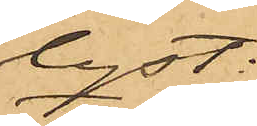lyst:
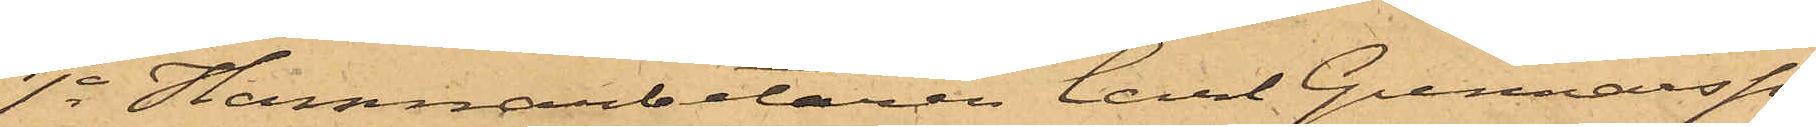1o Hamnarbetaren Carl Gunnarsson
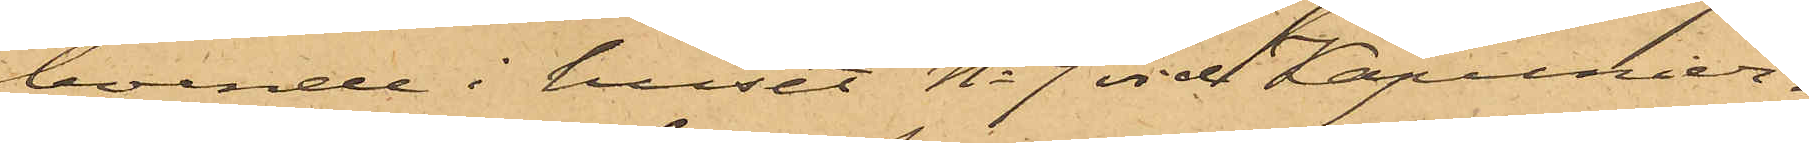boende i huset No 9 vid Kapunier¬
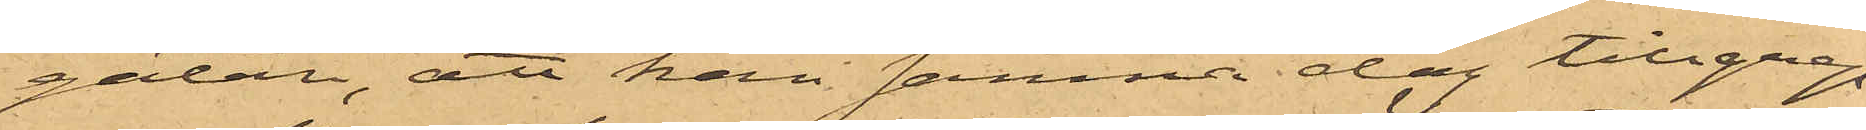gatan, att han samma dag tillgrep¬
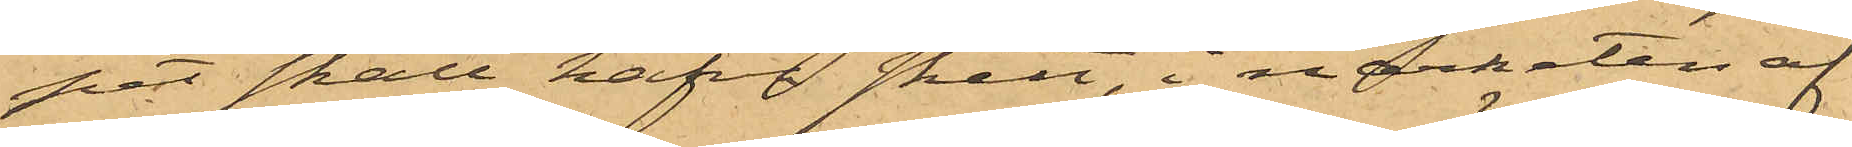pet skall hafva skett, i närheten af
